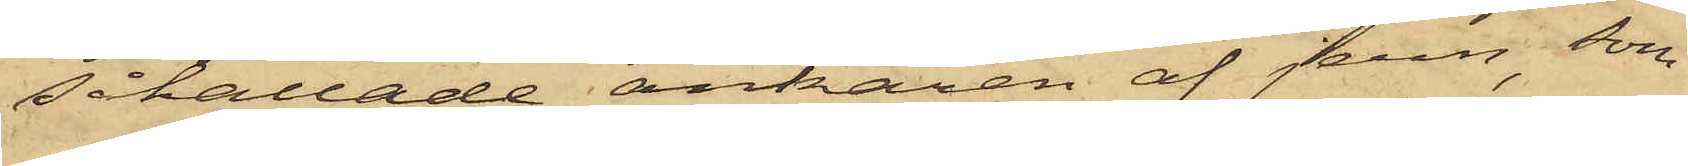såkallade ankaren af jern, som
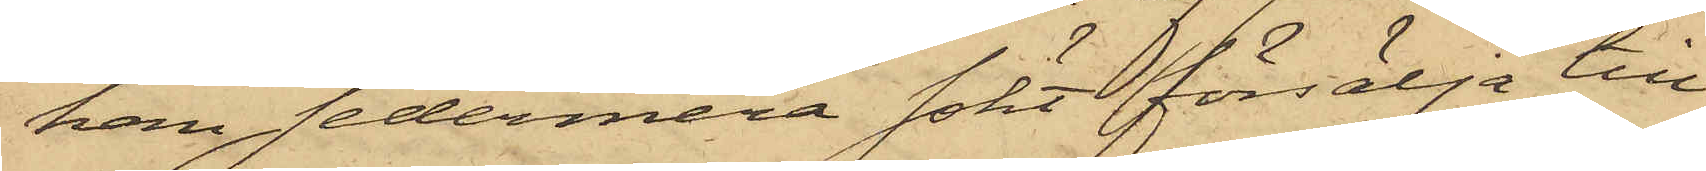han sedermera sökt försälja till
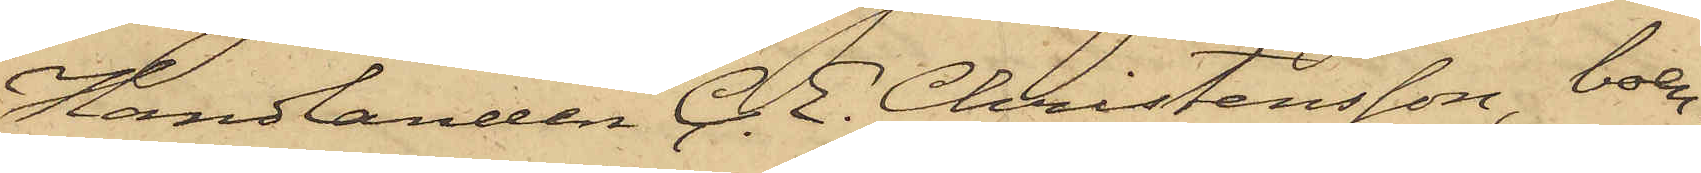Handlanden C. E. Christensson, boen¬
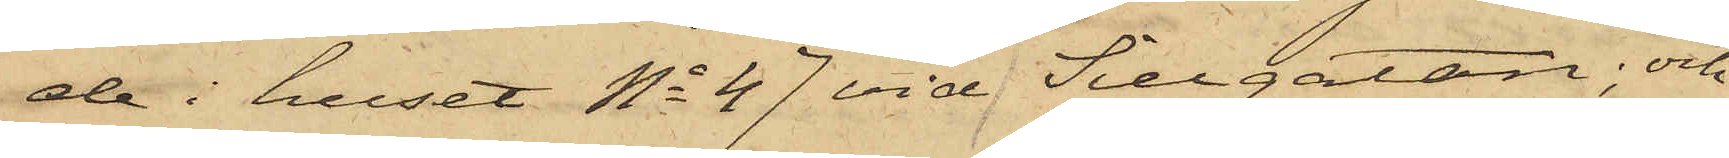de i huset No 47 vid Sillgatan; och
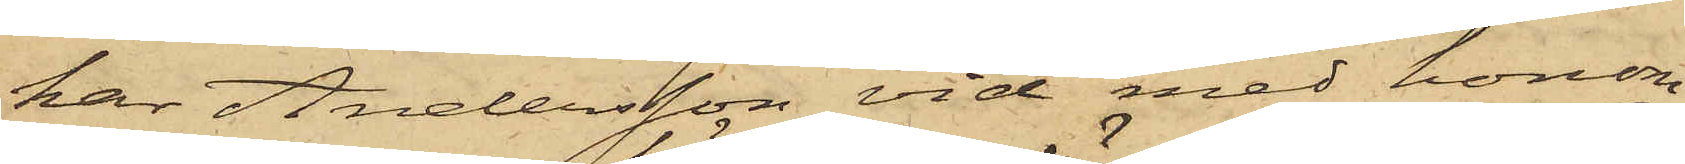har Andersson vid med honom
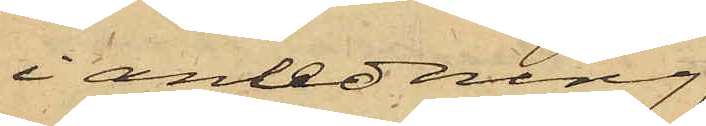i anlednning
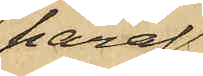häraf
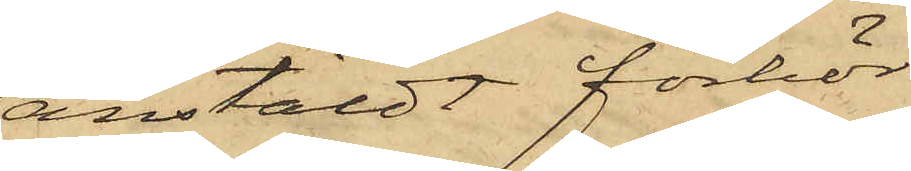anstäldt förhör
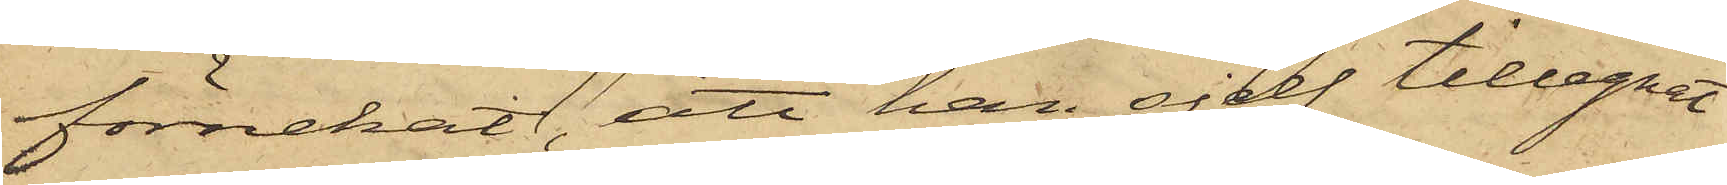förnekat, att han sjelf tillegnat
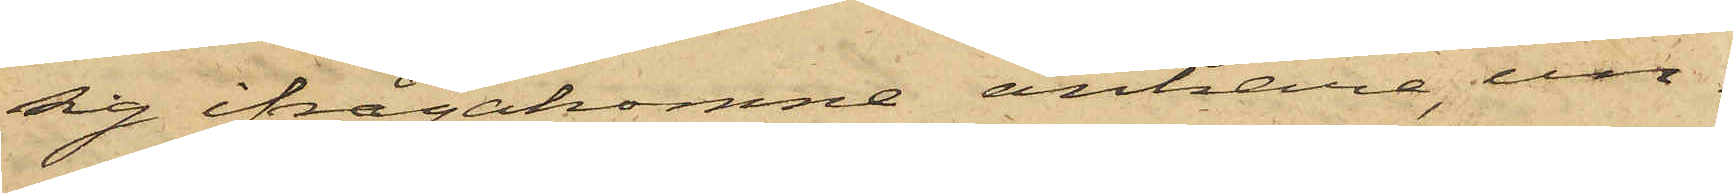sig ifrågakomne ankare, un¬
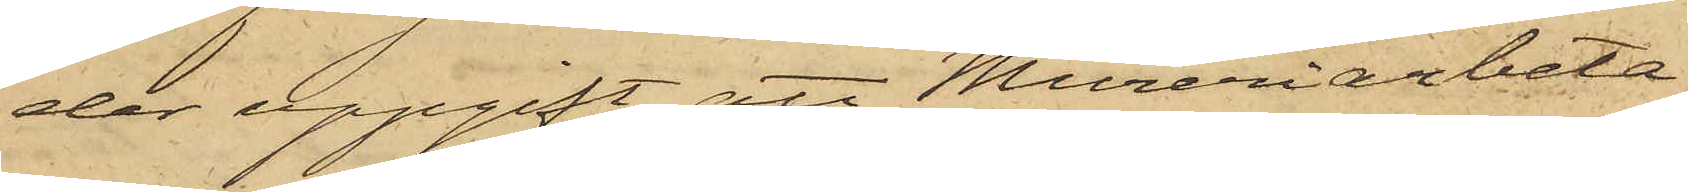der uppgift att Mureriarbeta¬
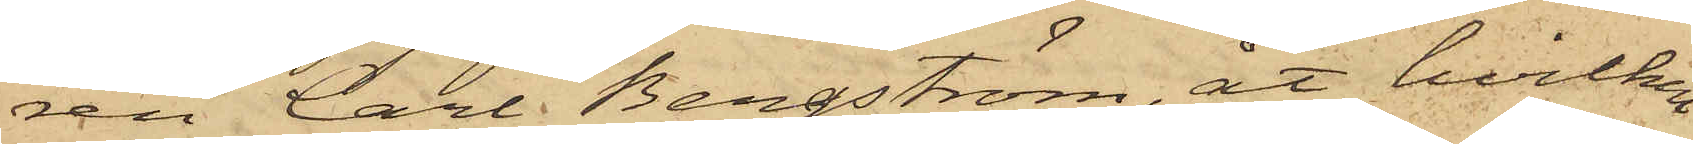ren Carl Bergström, åt hvilken
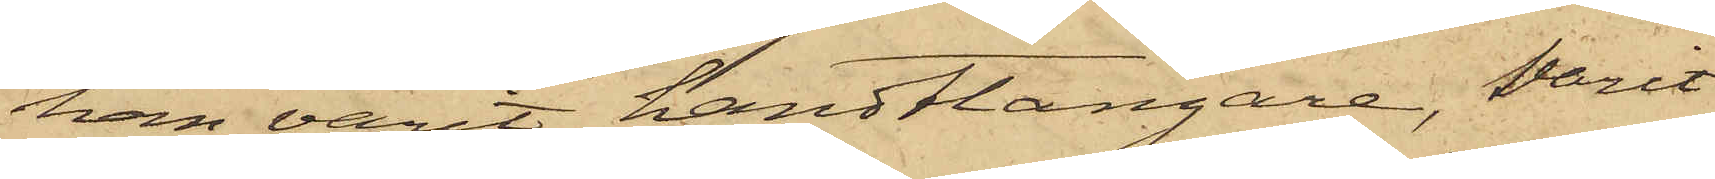han varit handtlangare, varit
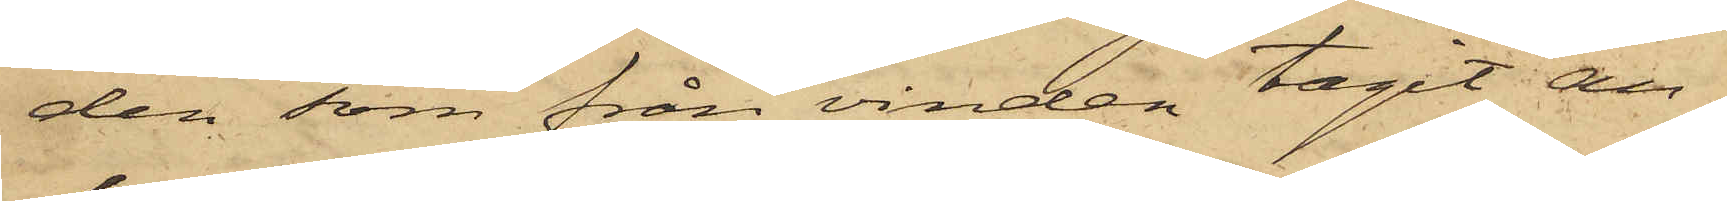den som från vinden tagit an¬
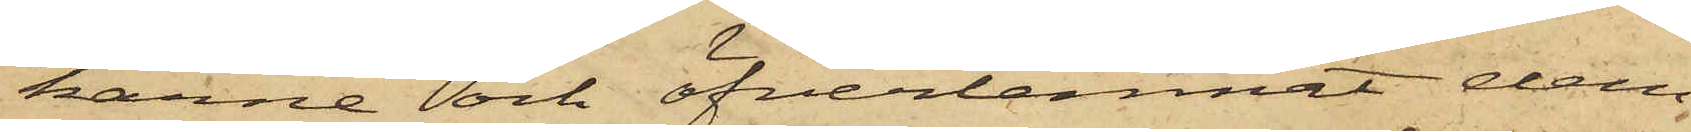karne och öfverlemnat dem
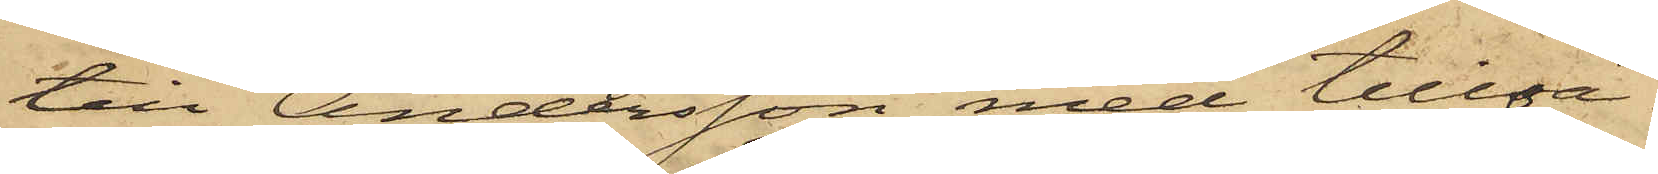till Andersson med tillsä¬
